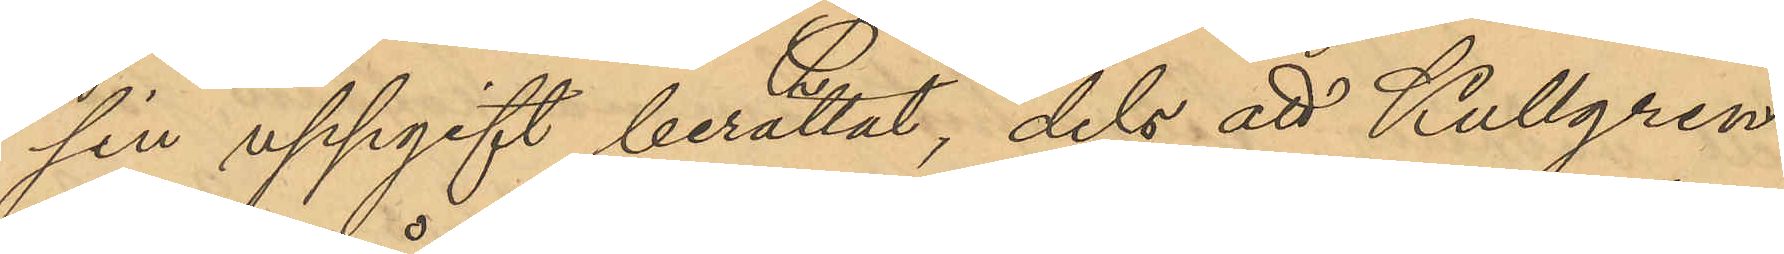sin uppgift berättat, dels att Kullgren
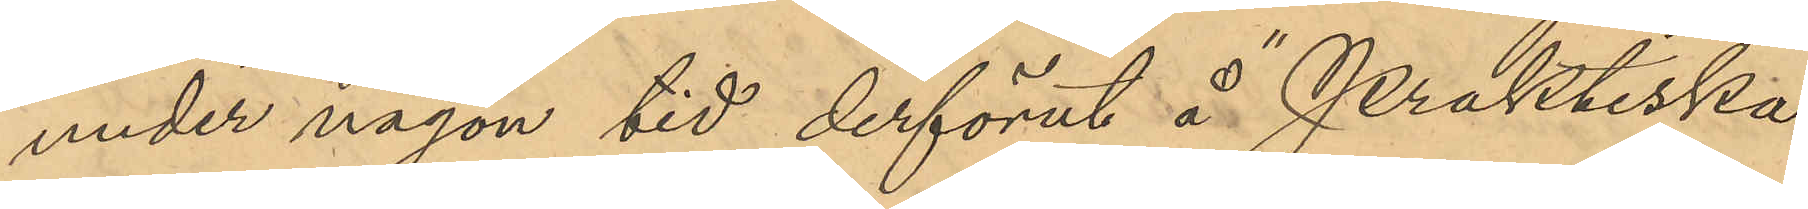under någon tid derförut å "Praktiska
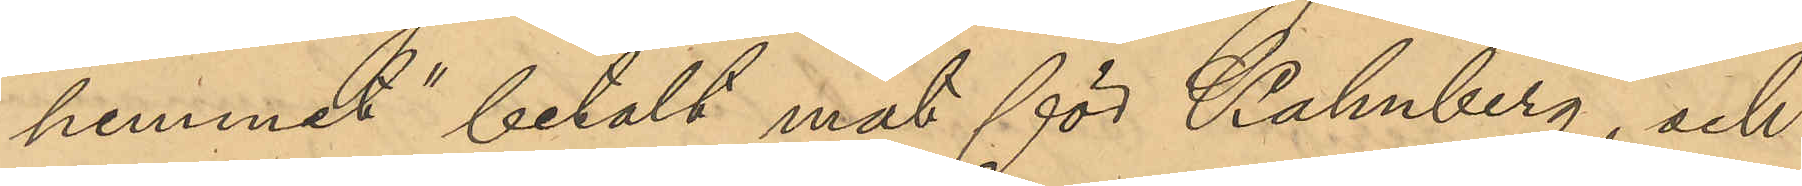hemmet" betalt mat för Kahnberg, och
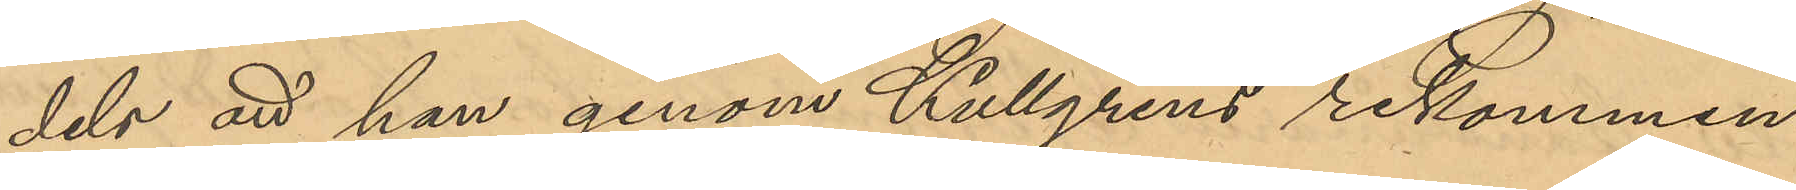dels att han genom Kullgrens rekommen¬
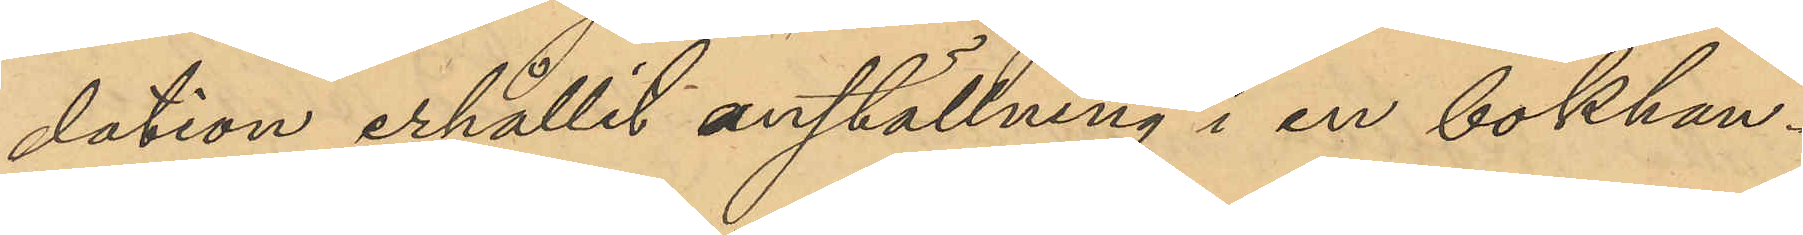dation erhållit anställning i en bokhan¬
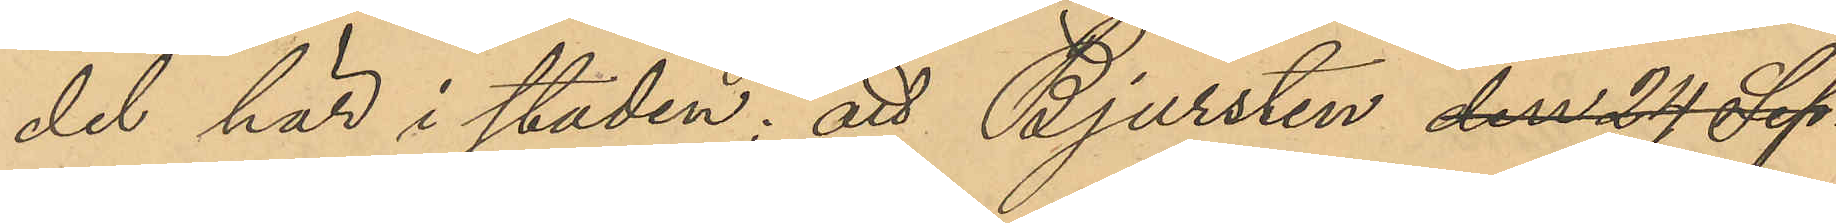del här i staden; att Bjursten den 24 Sep¬
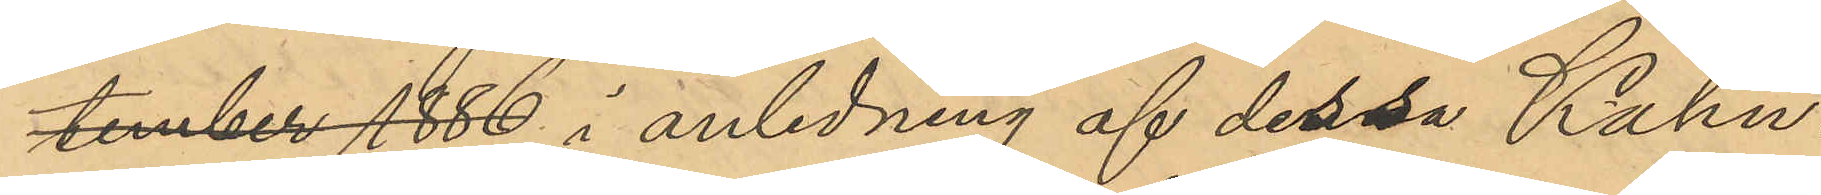tember 1886 i anledning af dessa Kahn¬
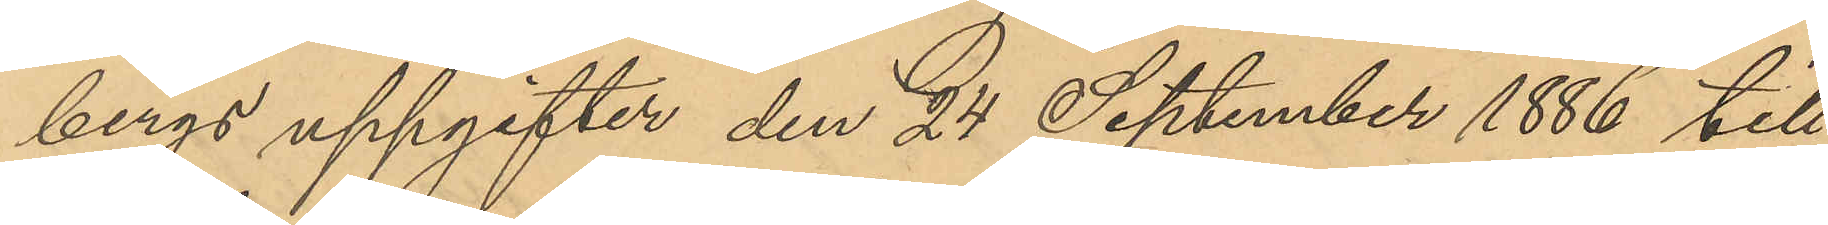bergs uppgifter den 24 September 1886 till
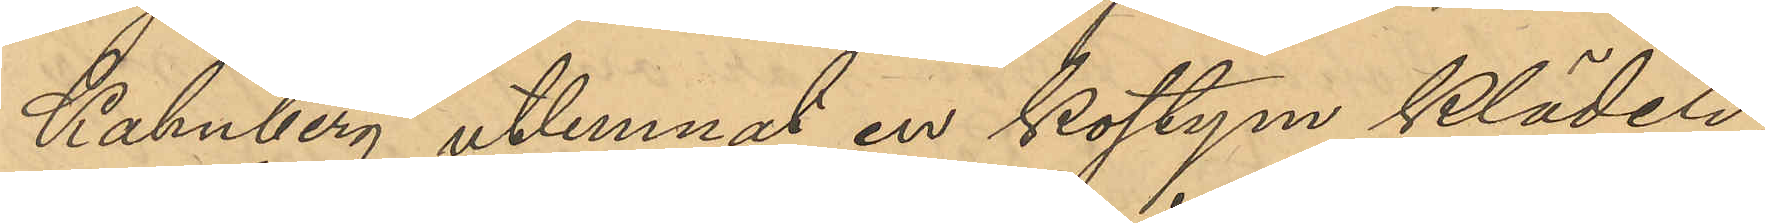Kahnberg utlemnat en kostym kläder,
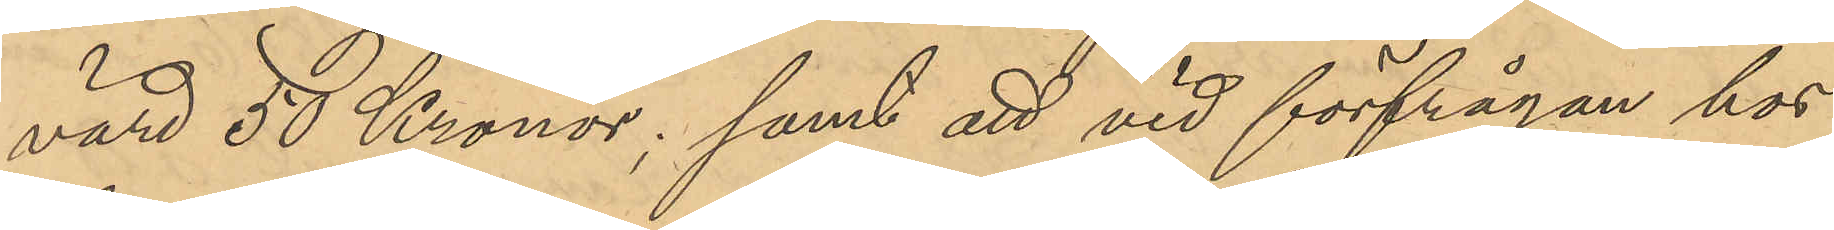värd 50 Kronor; samt att vid förfrågan hos
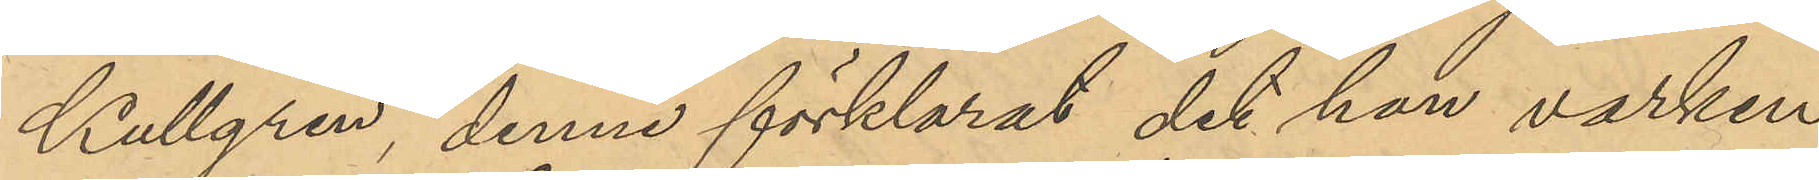Kullgren, denne förklarat det han varken
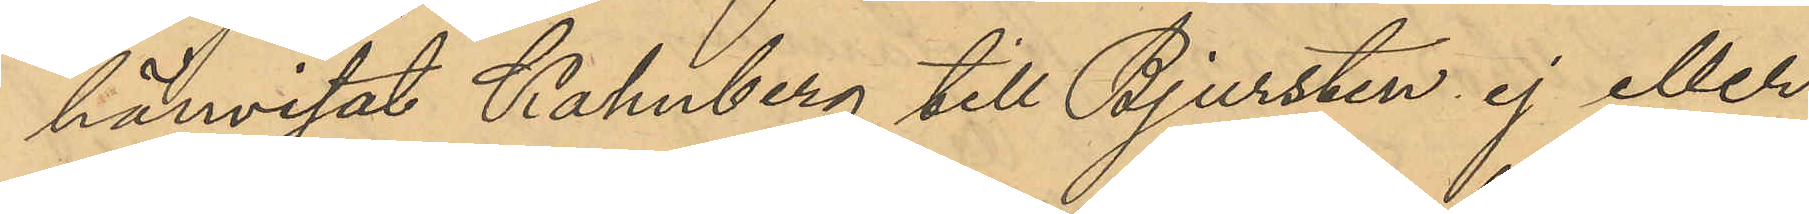hänvisat Kahnberg till Bjursten ej heller
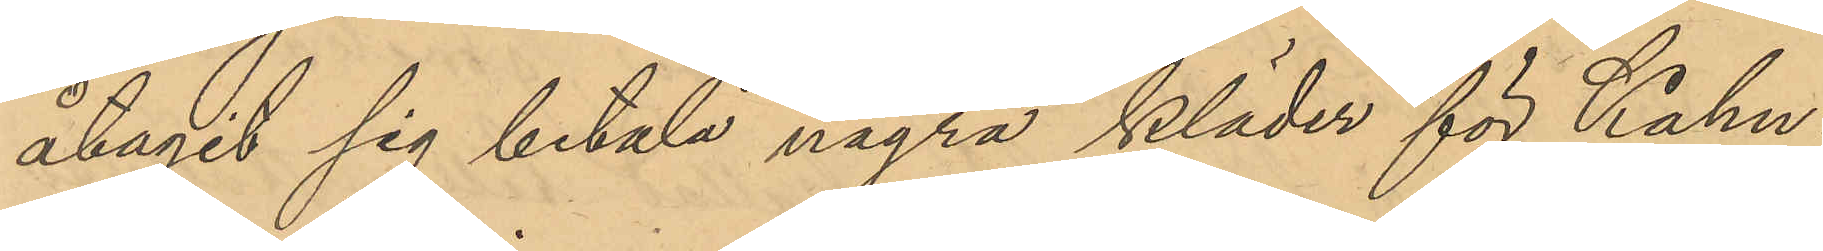åtagit sig betala några kläder för Kahn¬
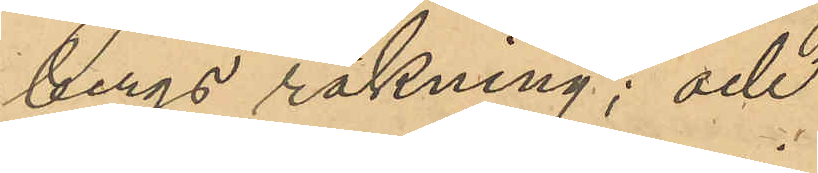bergs räkning; och
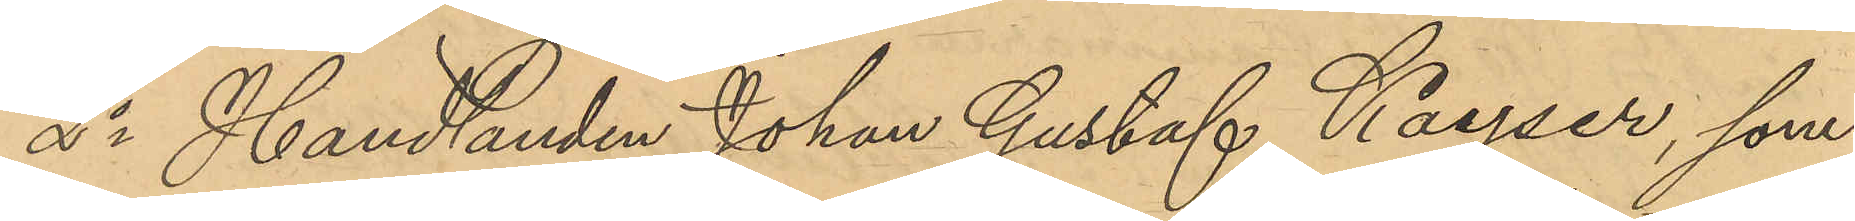2o Handlanden Johan Gustaf Kayser, som
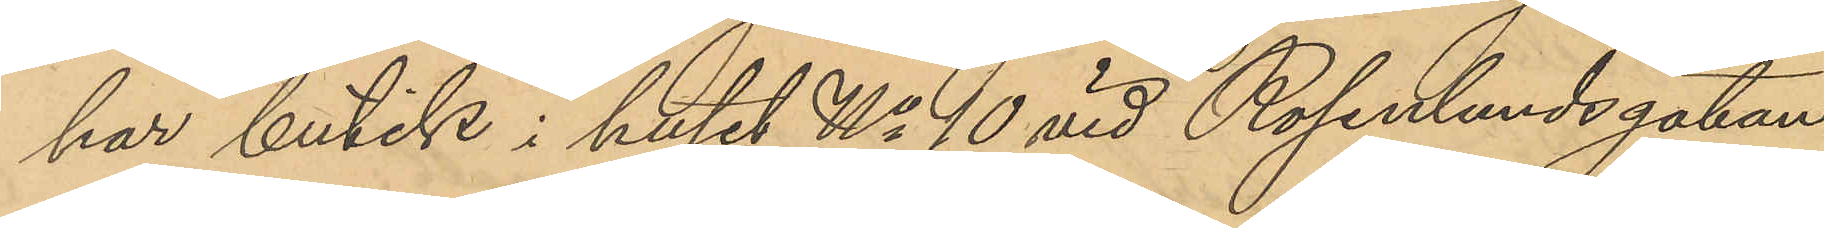har butik i huset No 10 vid Rosenlundsgatan;
